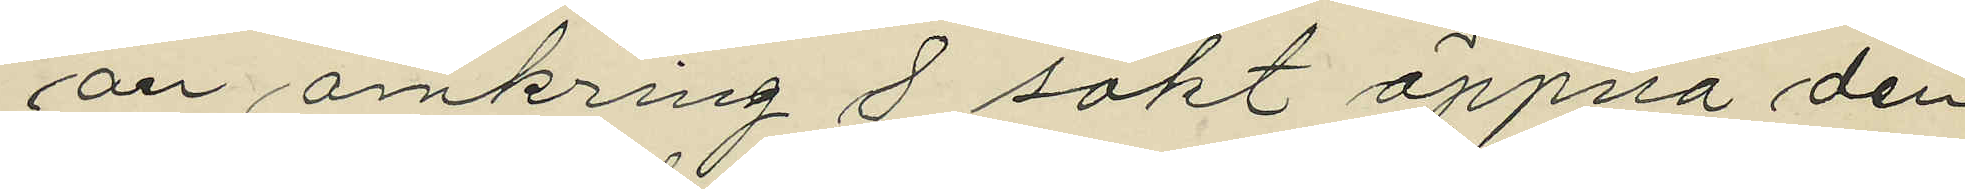an omkring 8 sökt öppna den
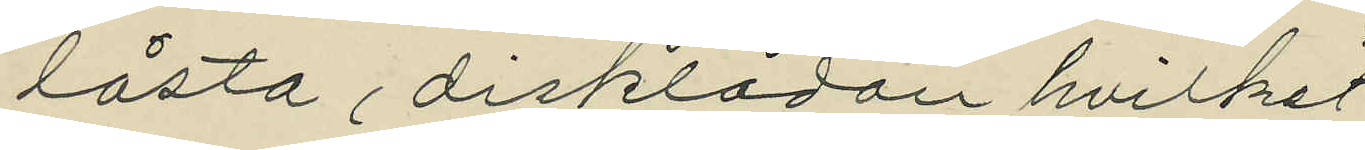låsta disklådan hvilket
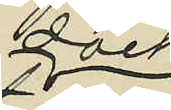dock
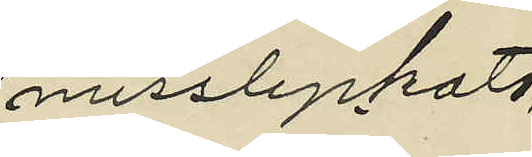misslyckats;
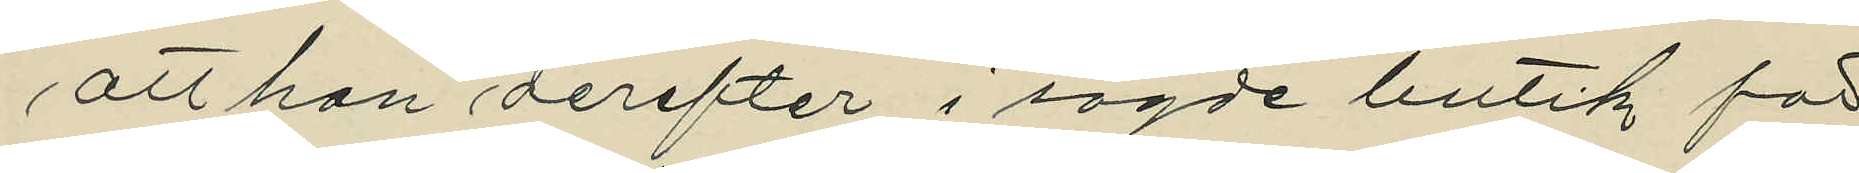att han derefter i sagde butik för
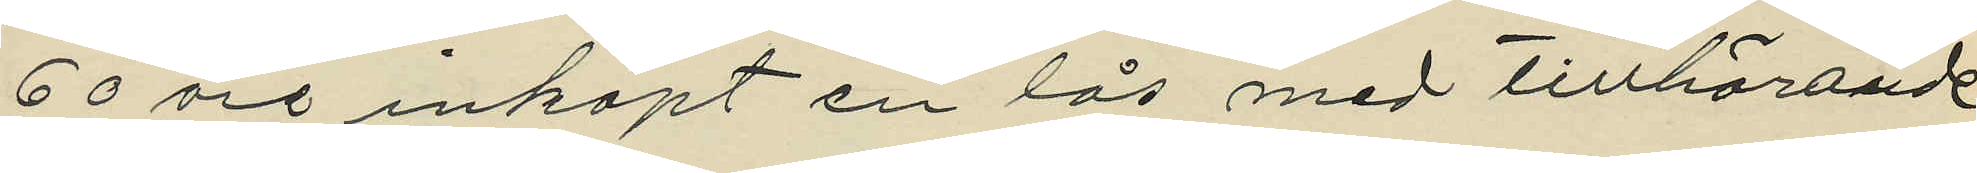60 öre inköpt en lås med tillhörande
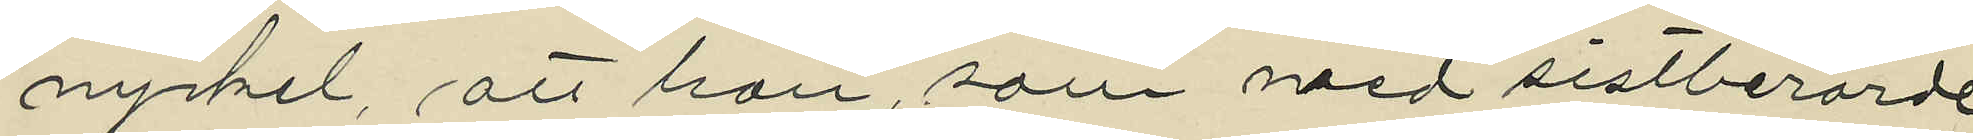nyckel, att han, som med sistberörde
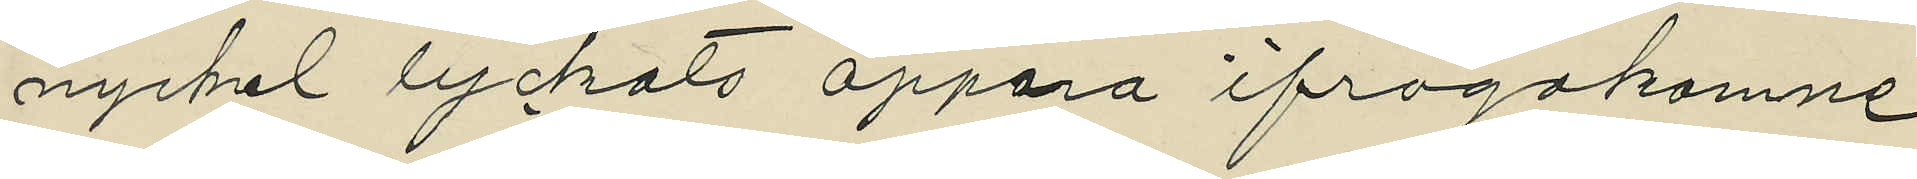nyckel lyckats öppna ifrågakomne
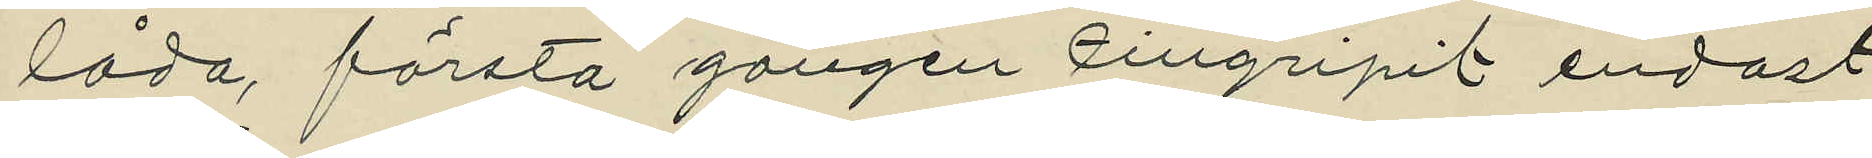låda, första gången tillgripit endast
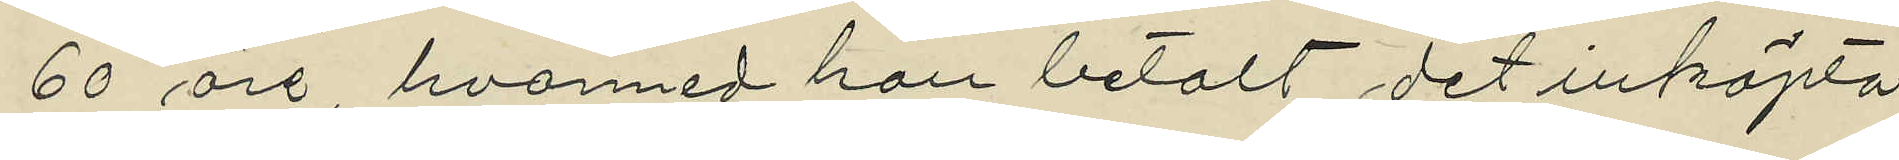60 öre, hvarmed han betalt det inköpta
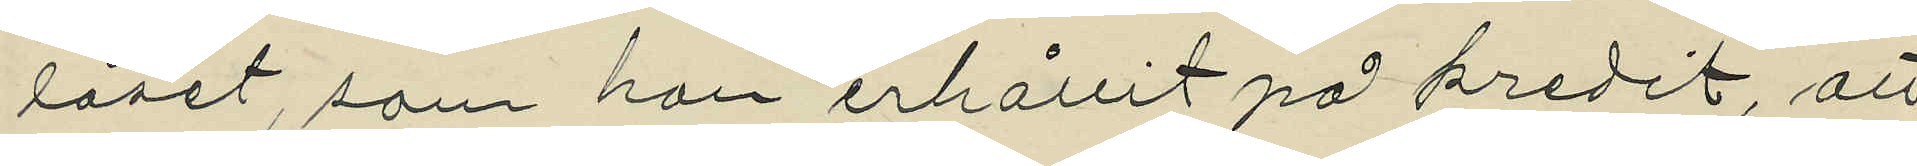låset, som han erhållit på kredit, att
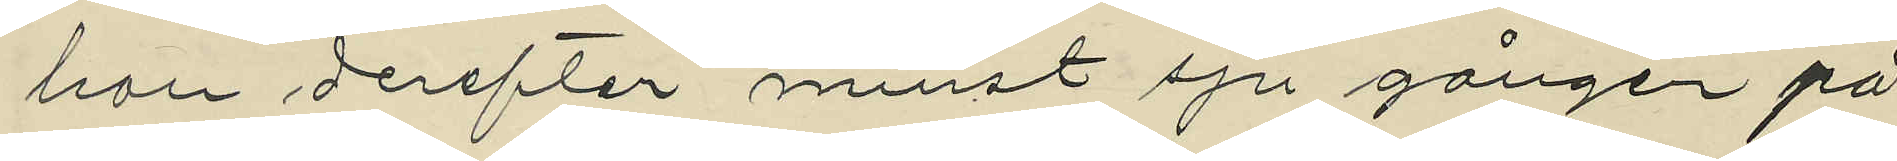han derefter minst sju gånger på
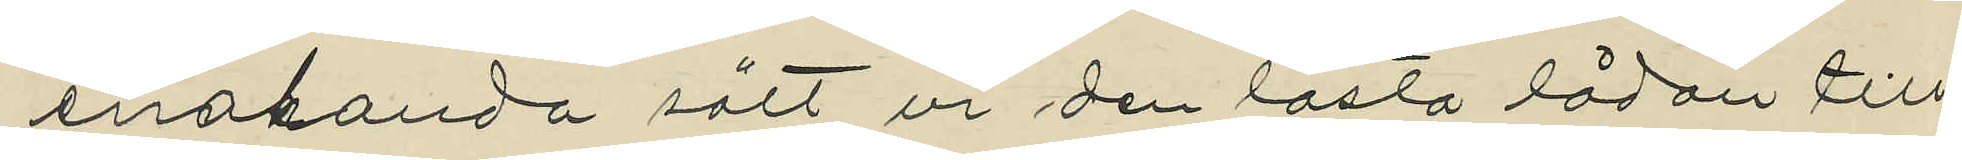enahanda sätt ur den låsta lådan till¬
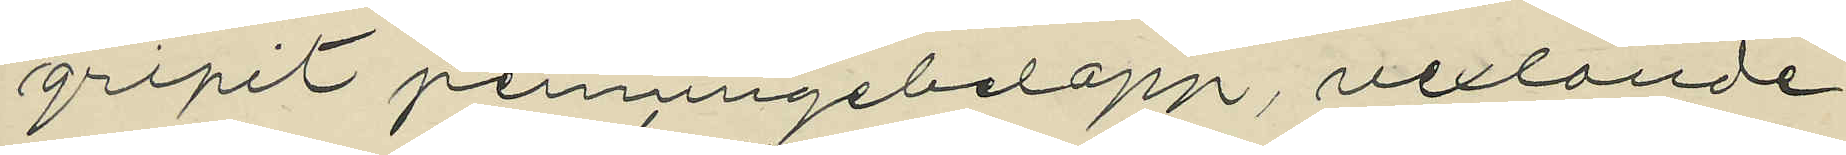gripit penningebelopp, vexlande
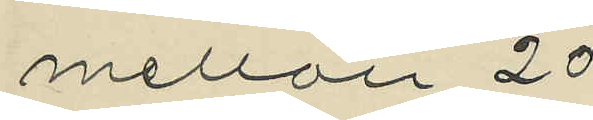mellan 20
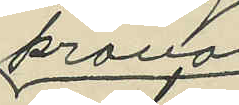kronor
